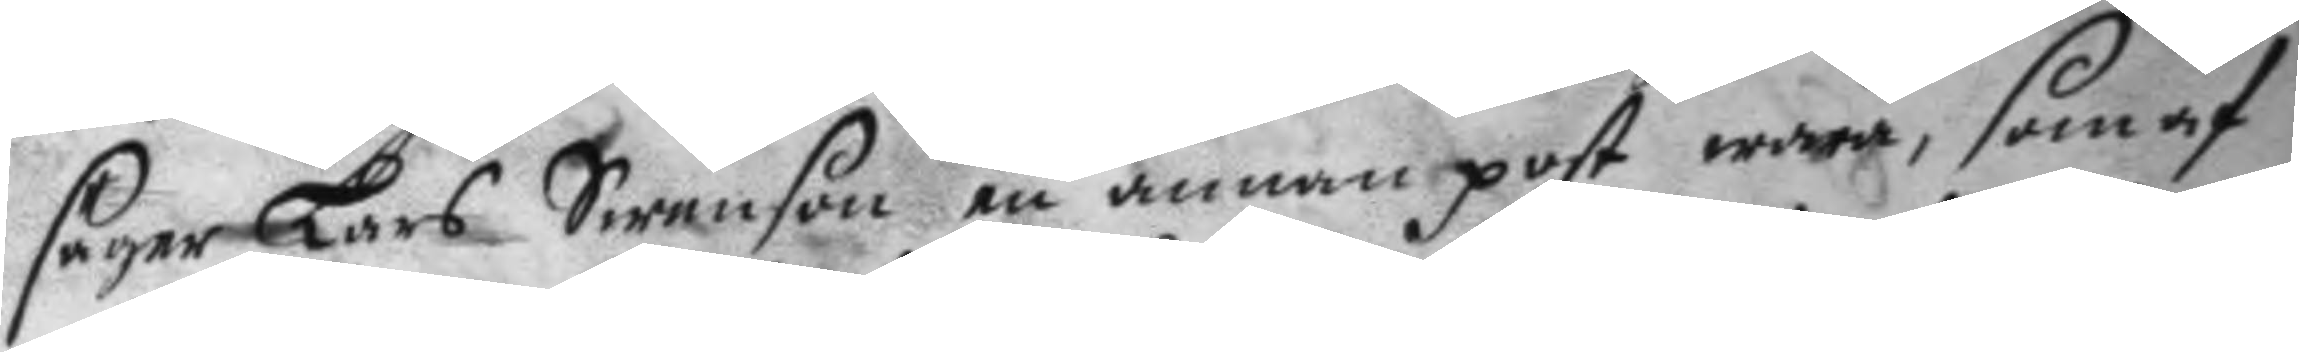säger Lars Swenson en annan post wara, som af
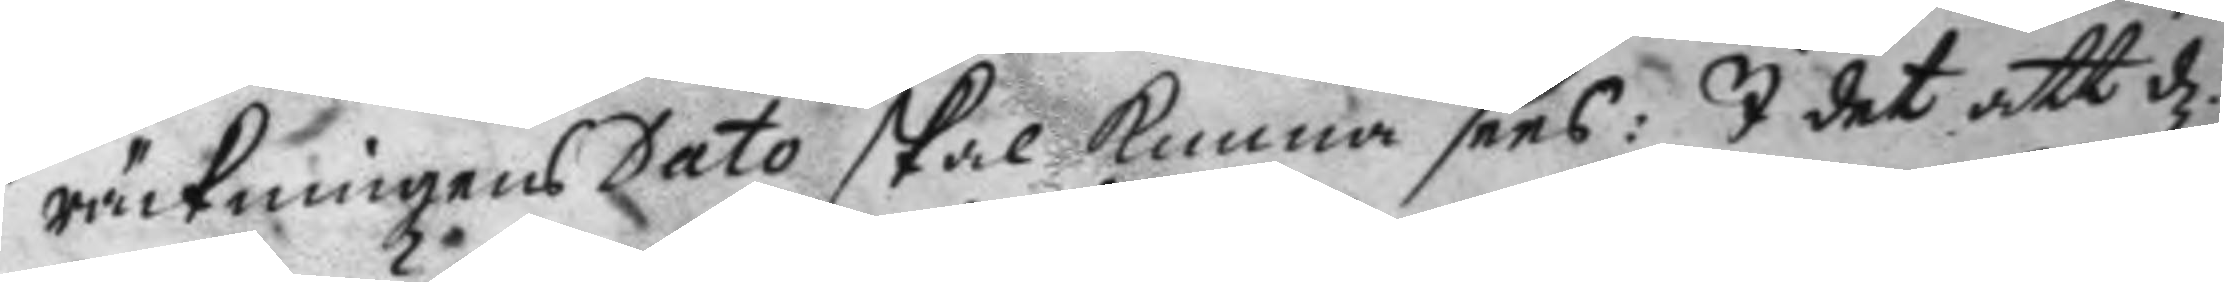räckningens Dato skal kunna sees: I det att d:
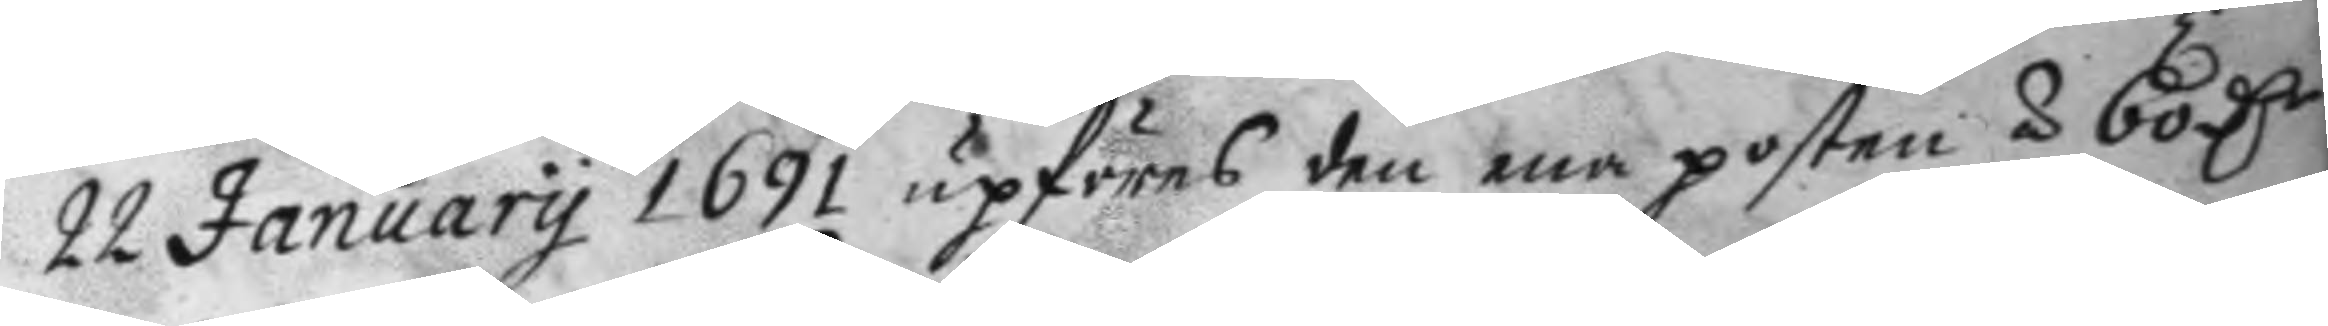22 January 1691 upföres den ena posten å 60 D.r
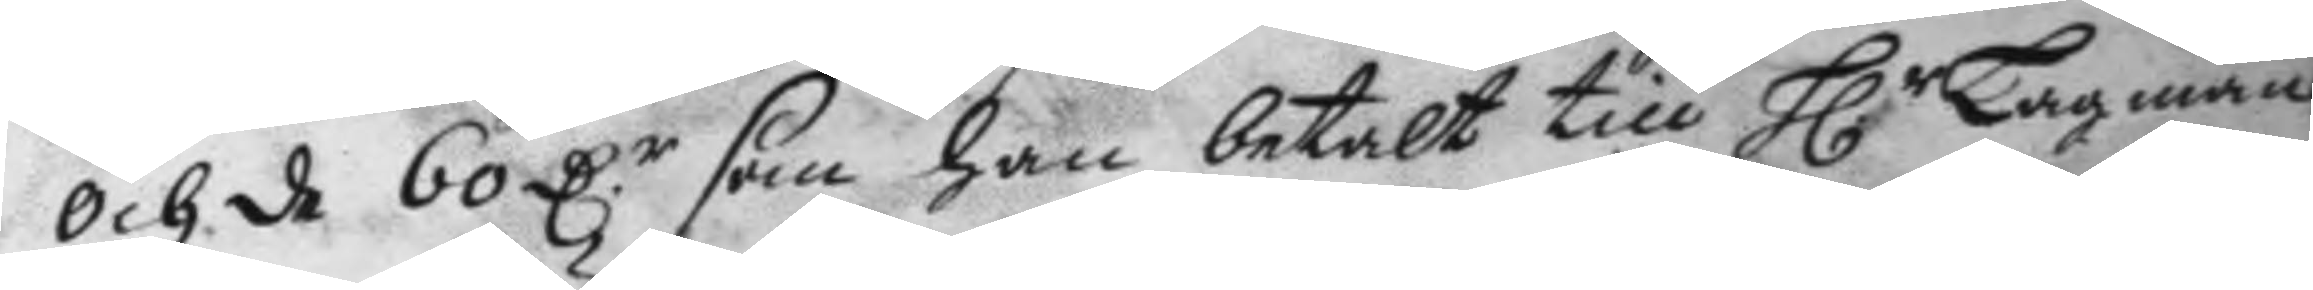och de60 D.r som han betalt till H.r Lagman
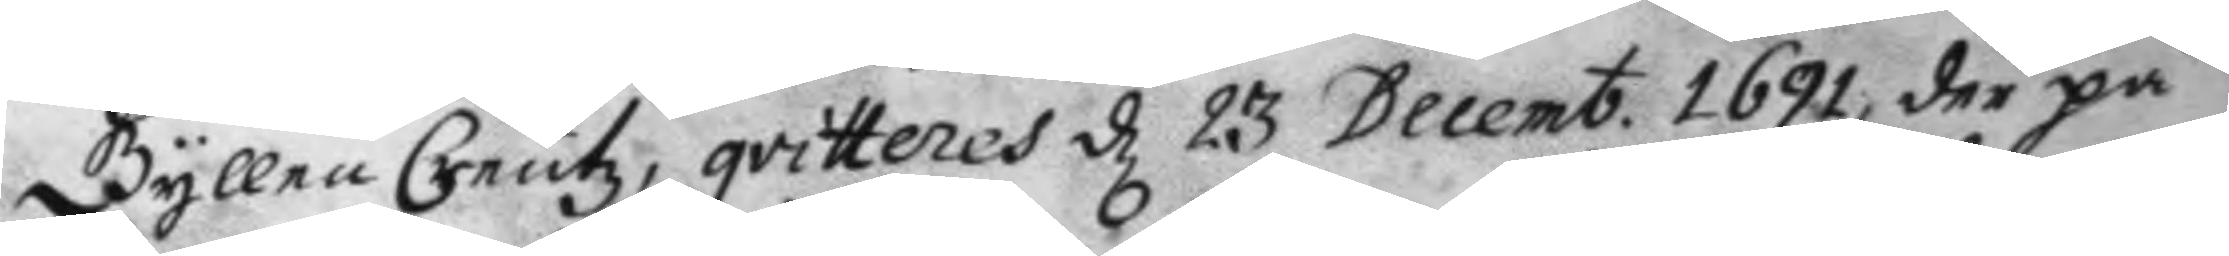Gyllen Creutz, qvitteres d 23 Decemb. 1691, der på
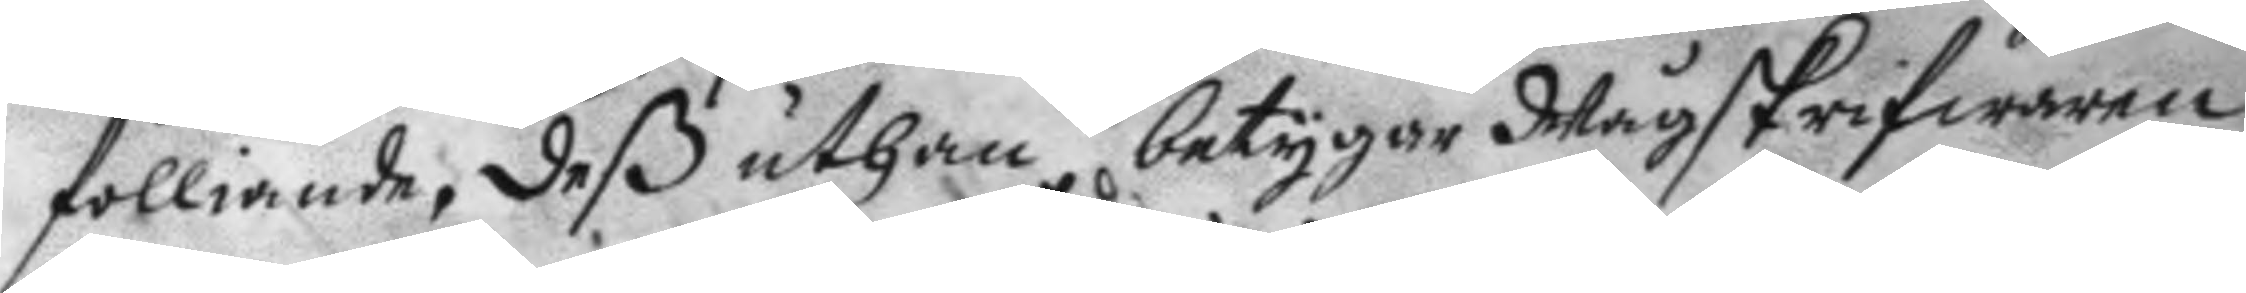folliande, deß uthan betygar Wågskrifwaren
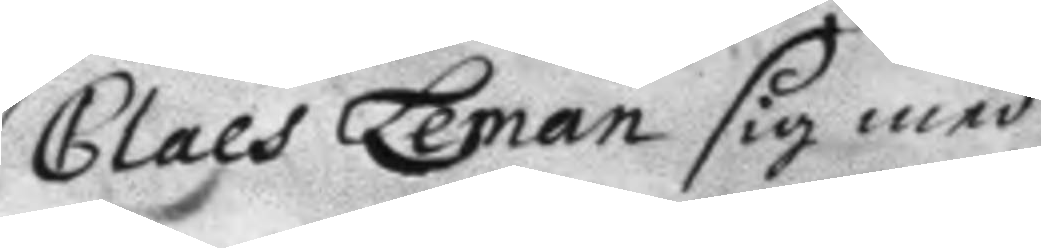Claes Leman sig med
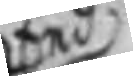Eed
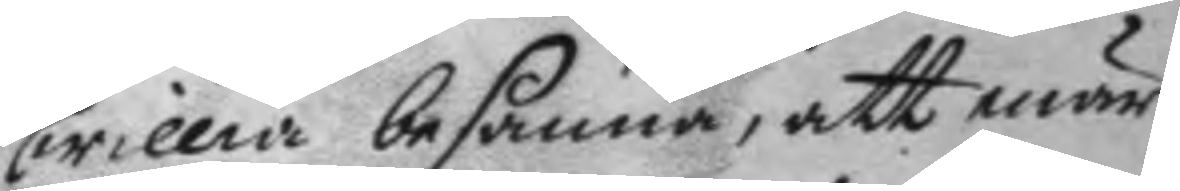willia besanna, att när
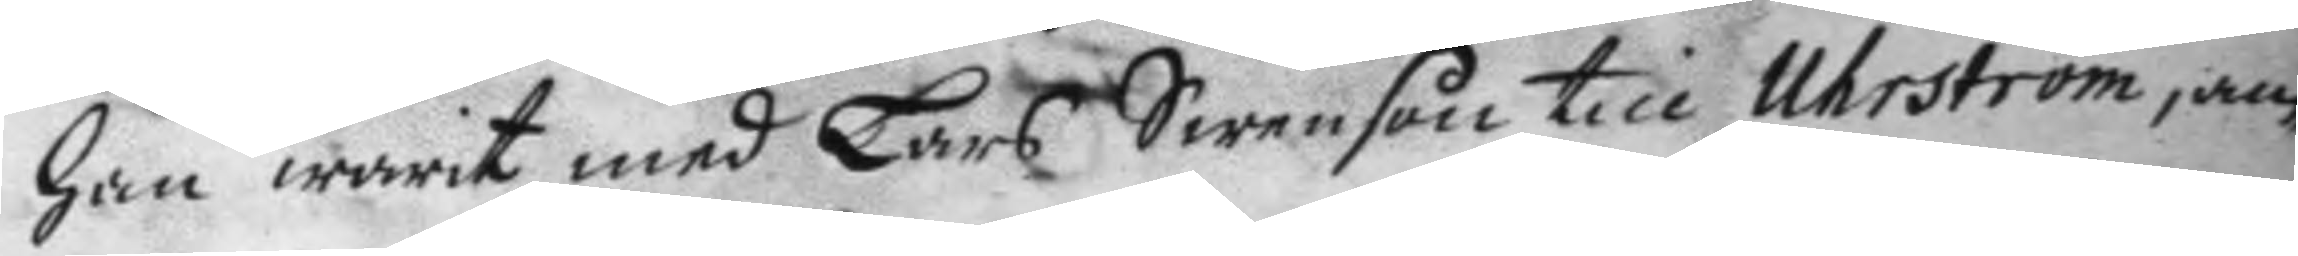han warit med Lars Swenson till Uhrström, an¬
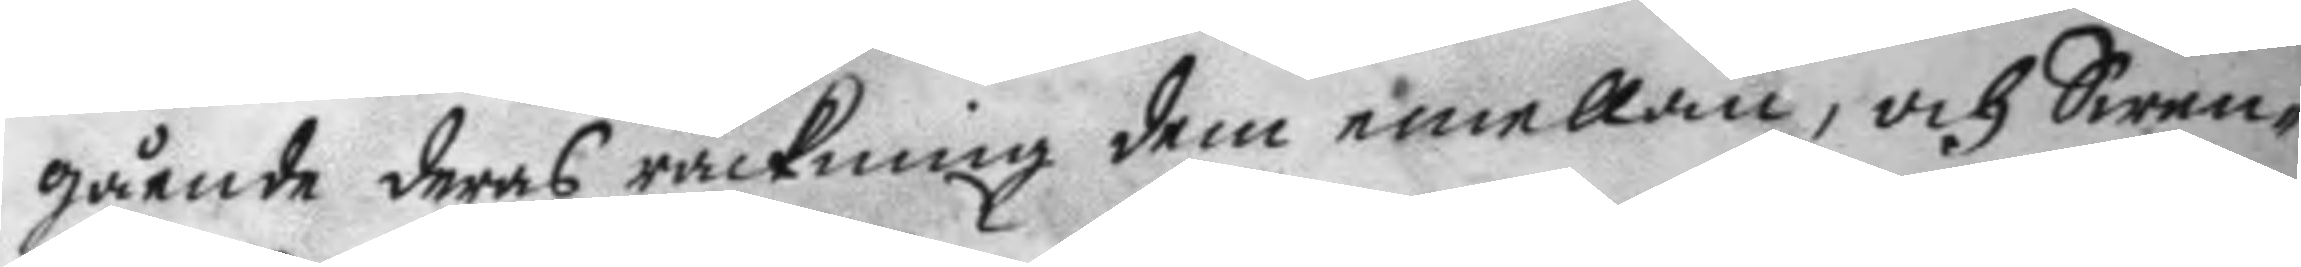gående deras räckning dem emellan, och Swen¬
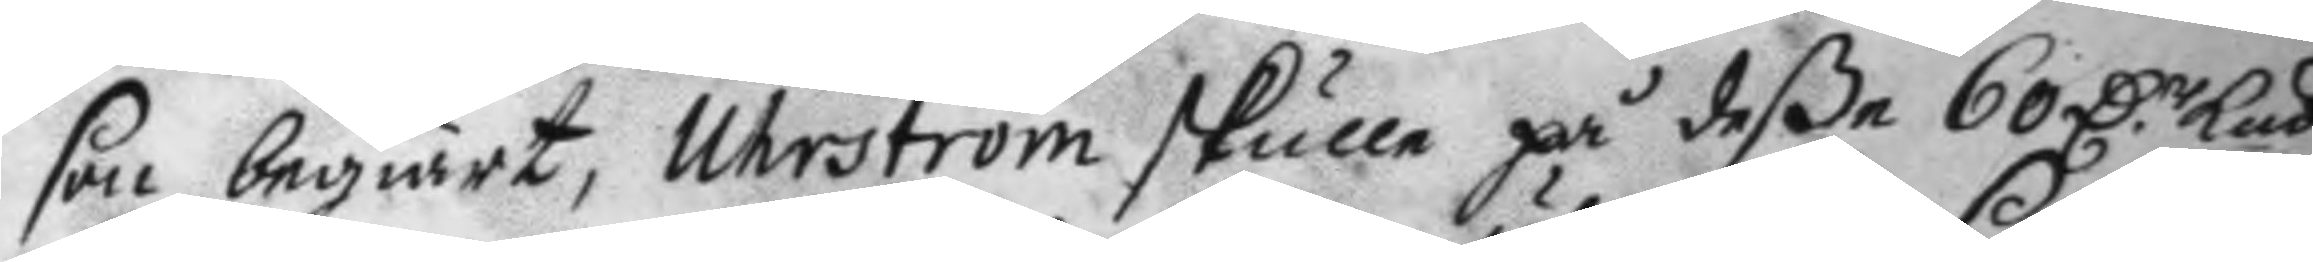son begiärt, Uhrström skulle på deße 60 D.r Kmt
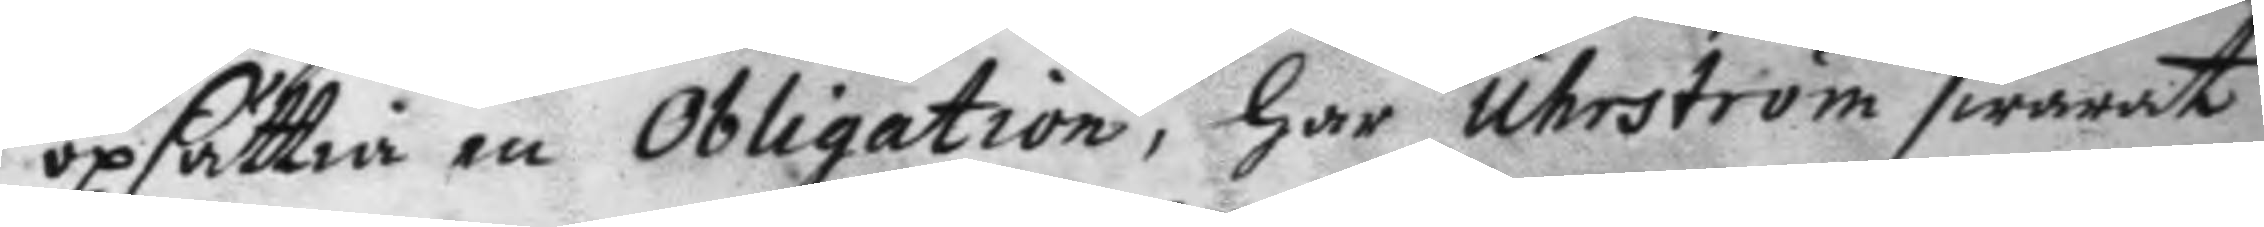opsättia en Obligation, har Uhrström swarat
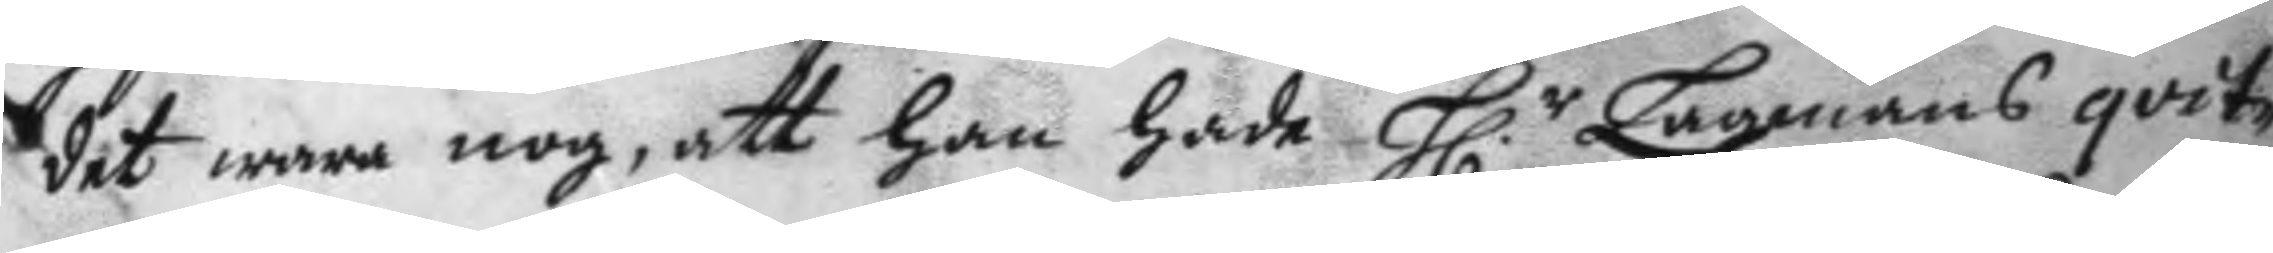det wara nog, att han hade H.r Lagmans qvit¬
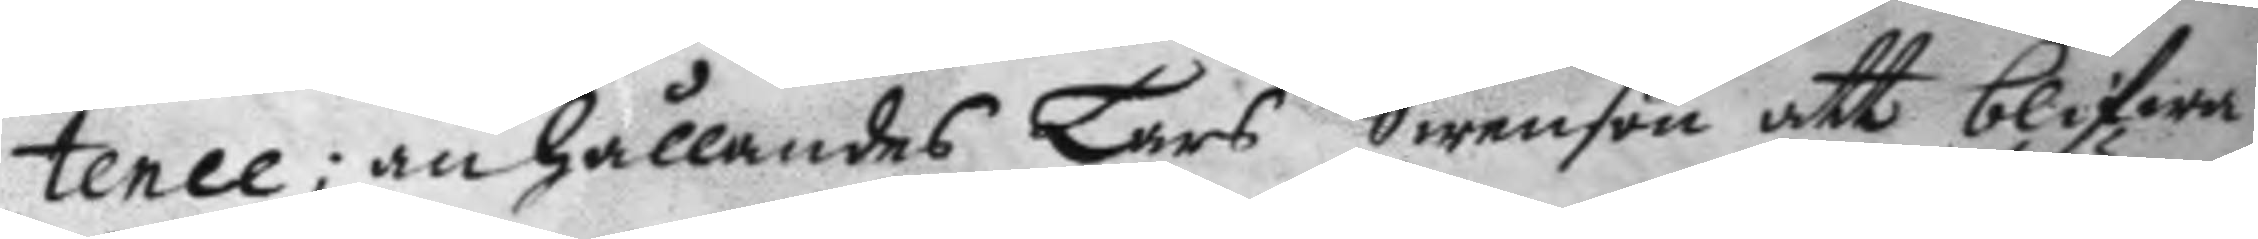tence: anhållandes Lars Swenson att blifwa
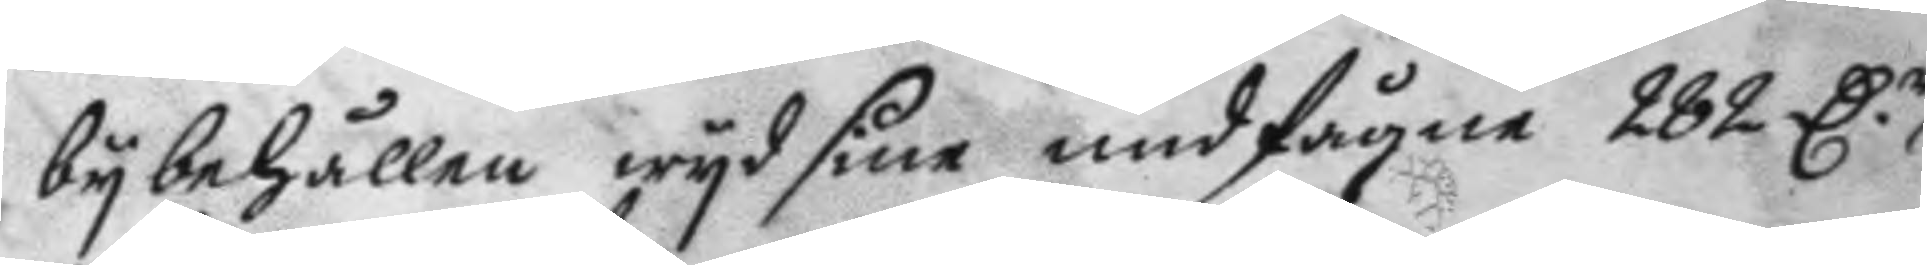bybehållen wyd sine undfångne 282 D.r
